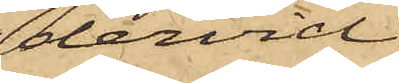dervid
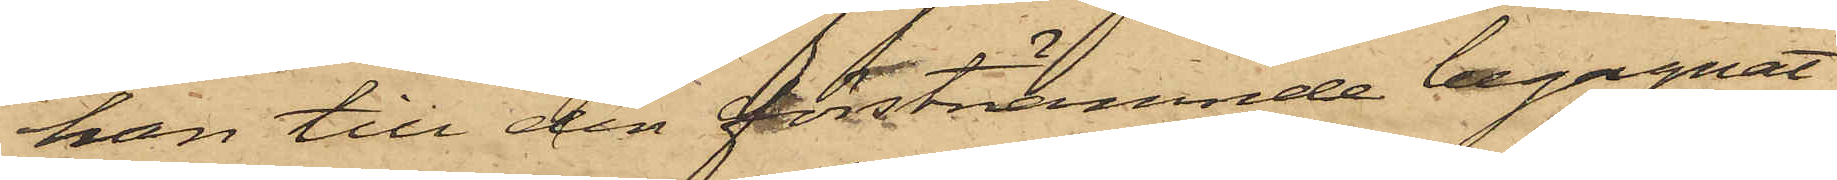han till den förstnämnde begagnat
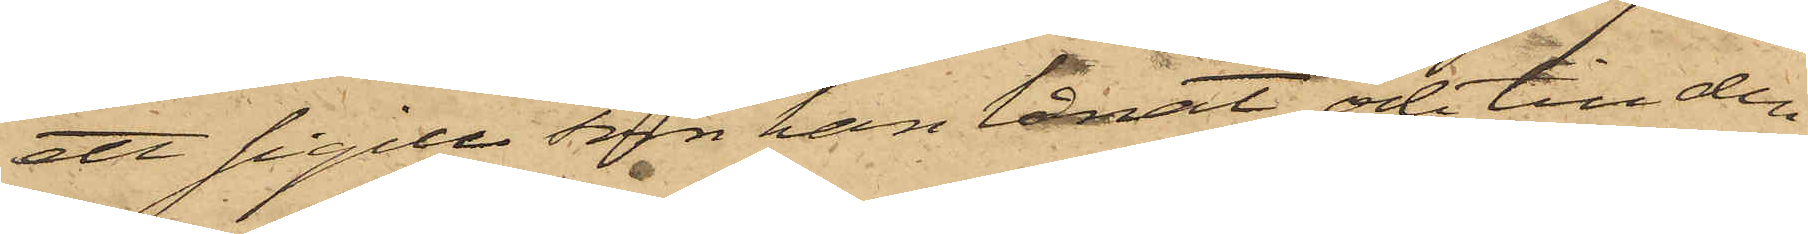ett sigill som han lånat och till den
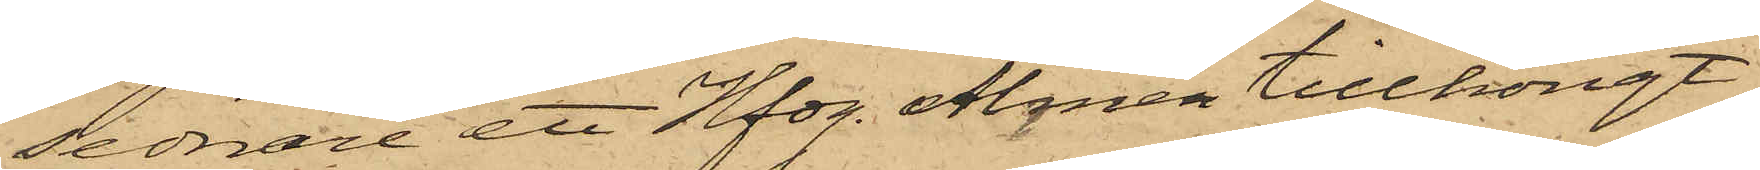sednare att Hfdg. Almén tillhörigt
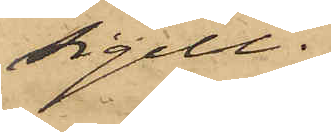sigill.
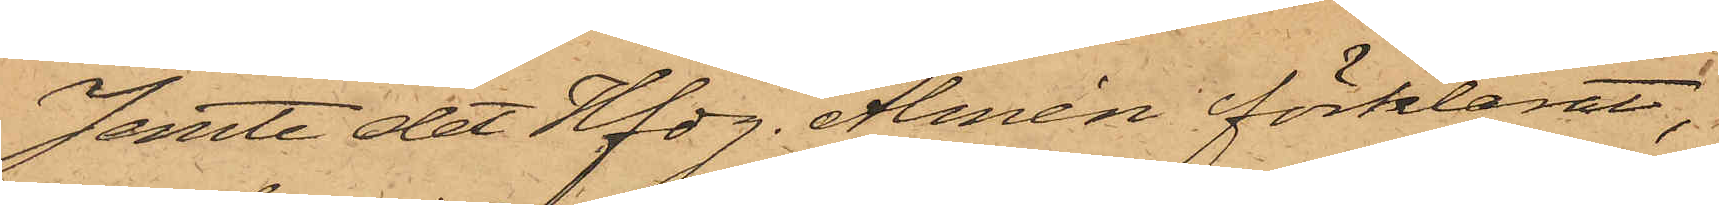Jemte det Hfdg. Almén förklarat,
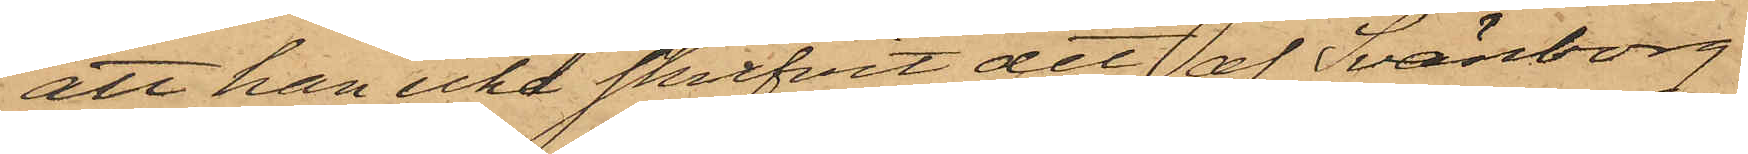att han icke skrifvit det af Svänborg
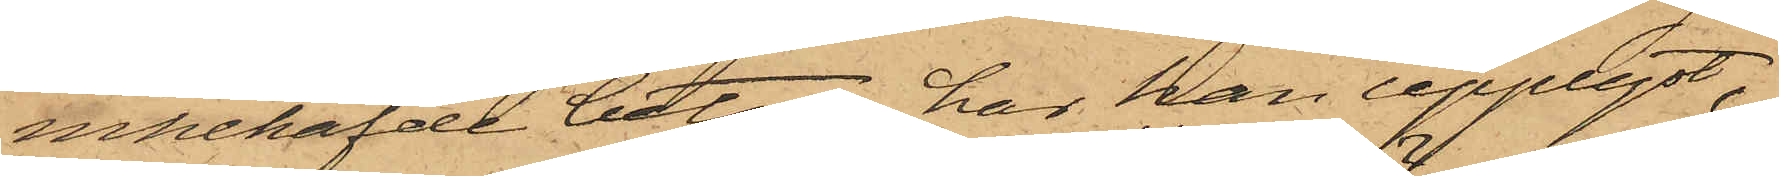innehafvde betyg, har han upplyst,
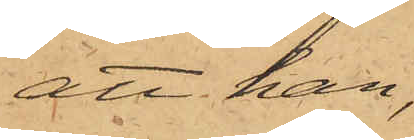att han,
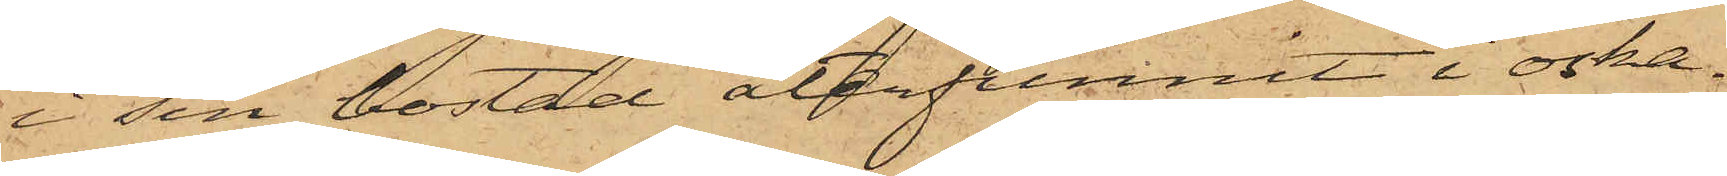i sin bostad återfunnit i oska¬
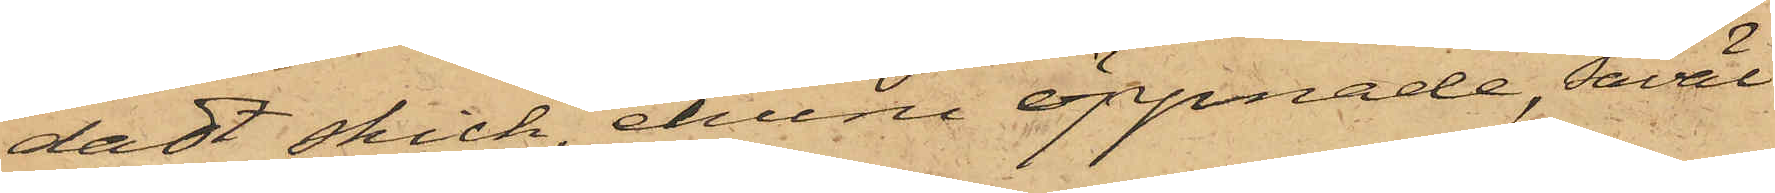dat skick, ehuru öppnade, såväl
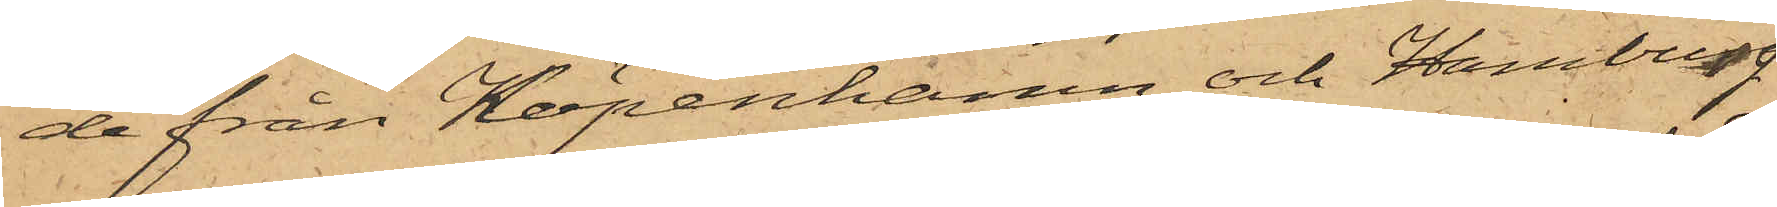de från Köpenhamn och Hamburg
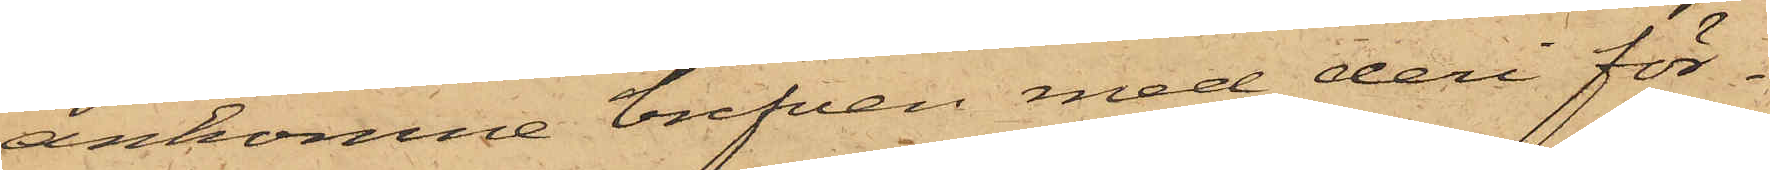ankomne brefven med deri för¬
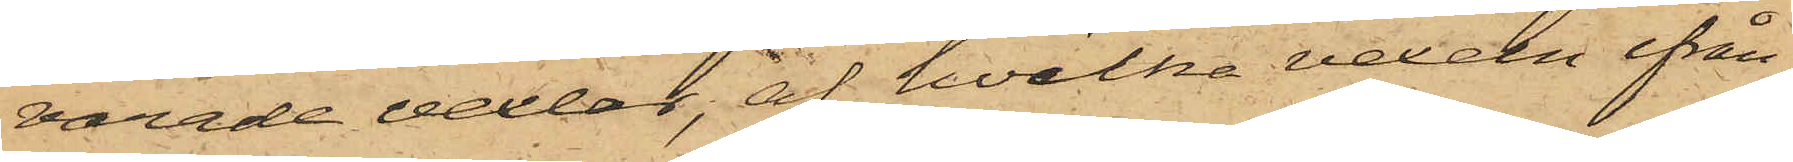varade vexlar, af hvilka vexeln ifrån
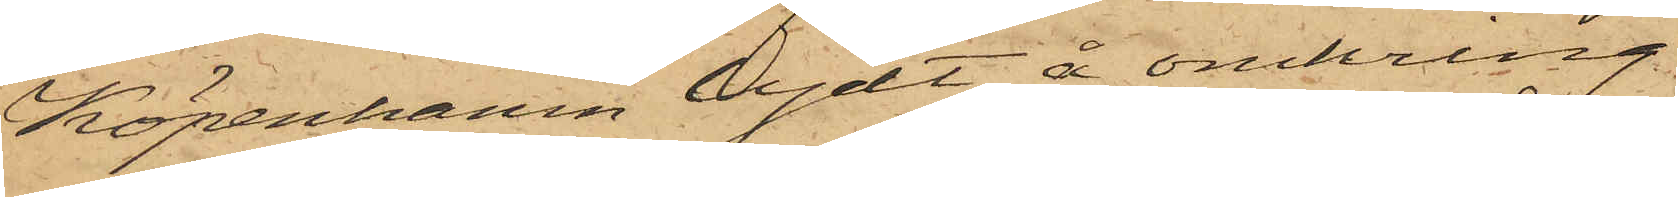Köpenhamn lydt å omkring
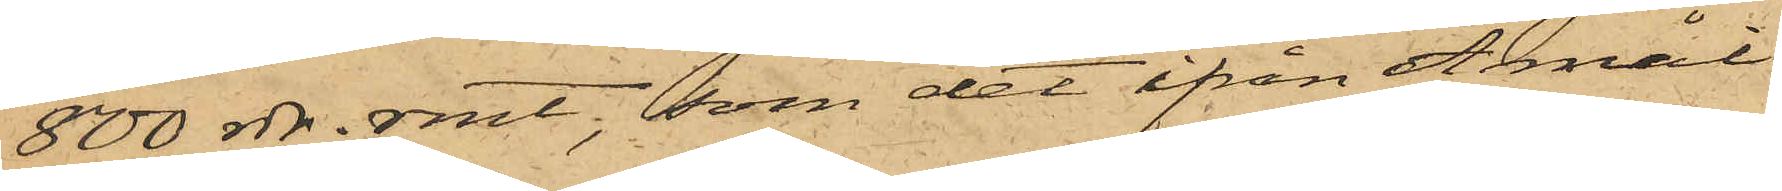800 rdr rmt, som det ifrån Åmål
